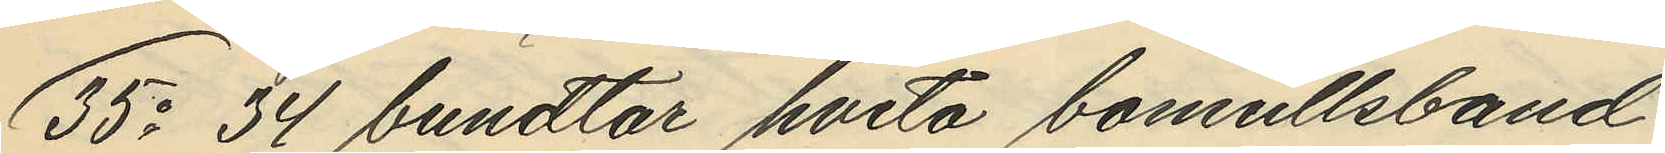35o 34 bundtar hvita bomullsband
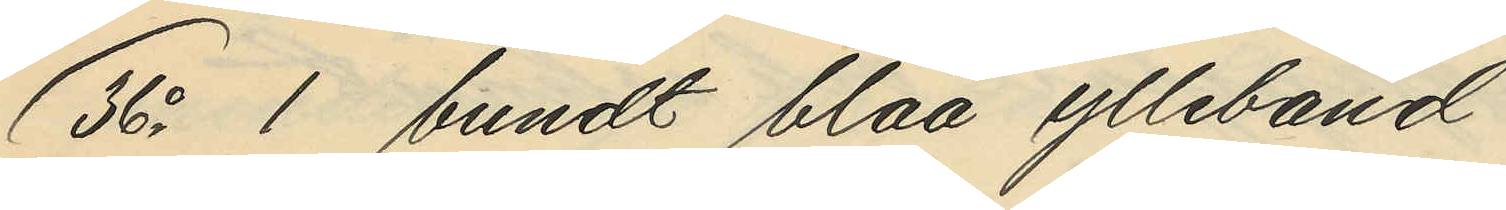36o 1 bundt blåa ylleband
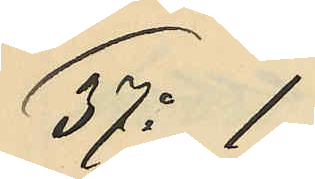37o 1
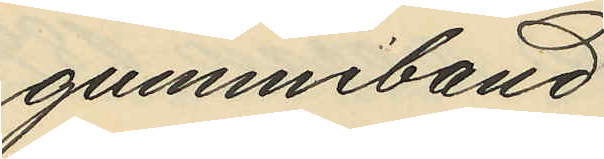gummiband
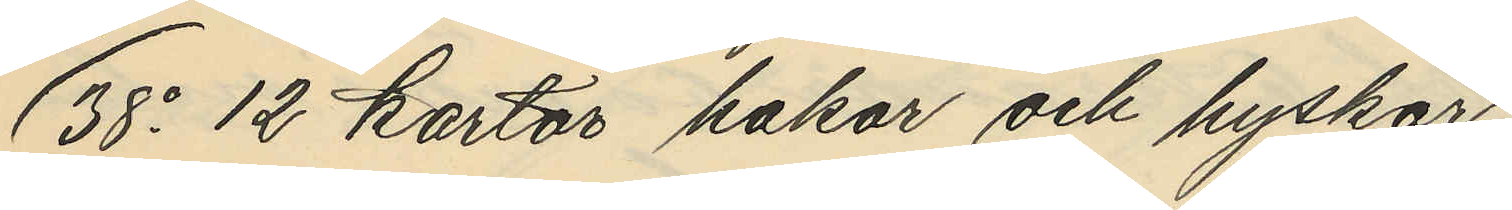38o 12 kartor hakar och hyskor
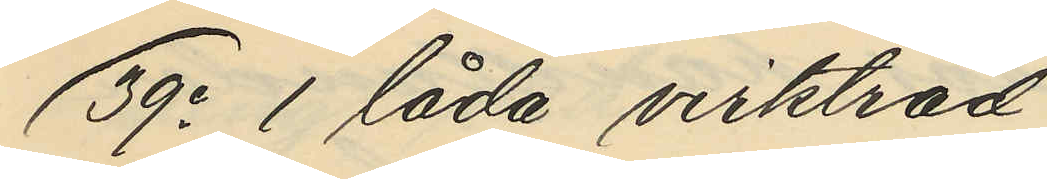39o 1 låda virktråd
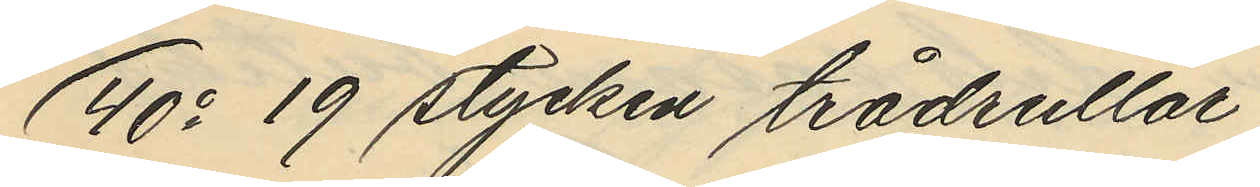40o 19 stycken trådrullar
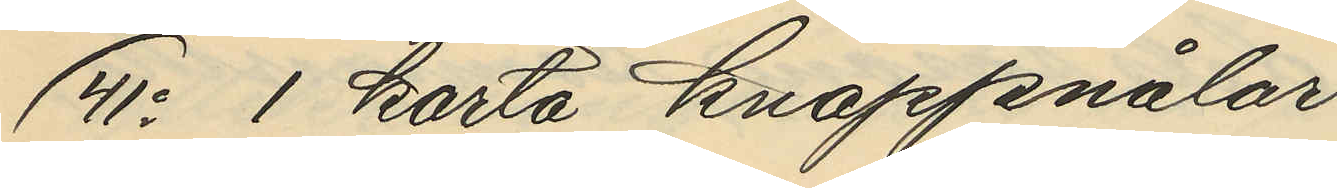41o 1 karta knappnålar
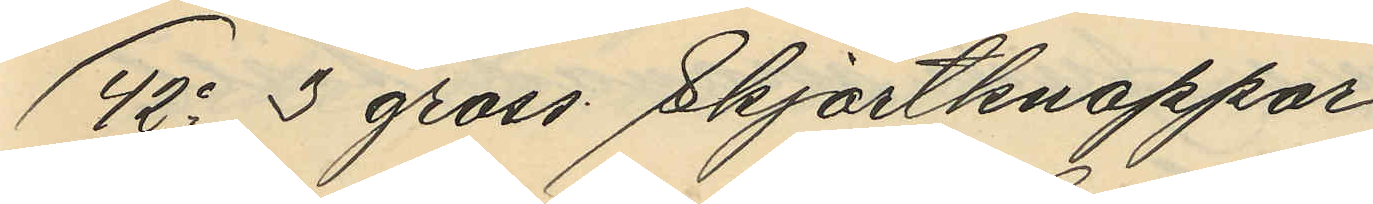42o 3 gross Skjortknappar
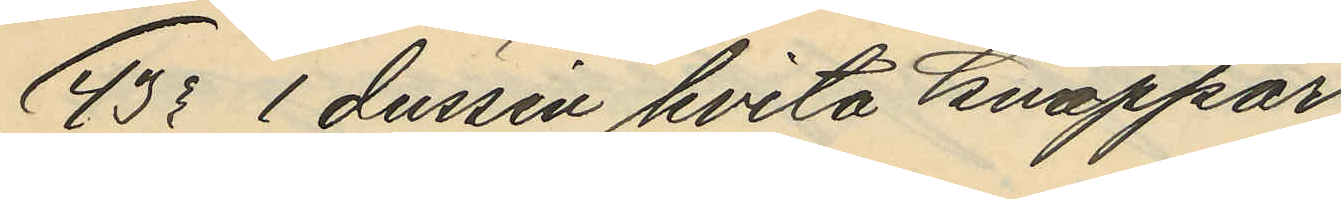43o 1 dussin hvita knappar
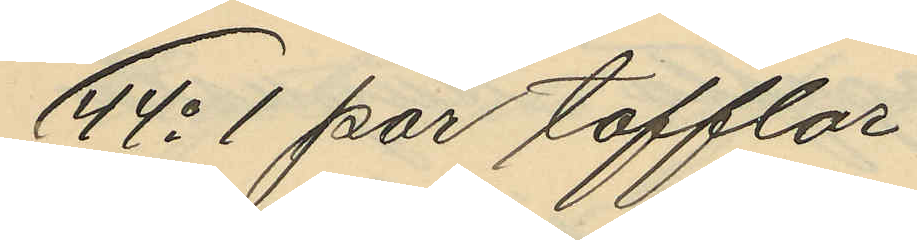44o 1 par tofflor
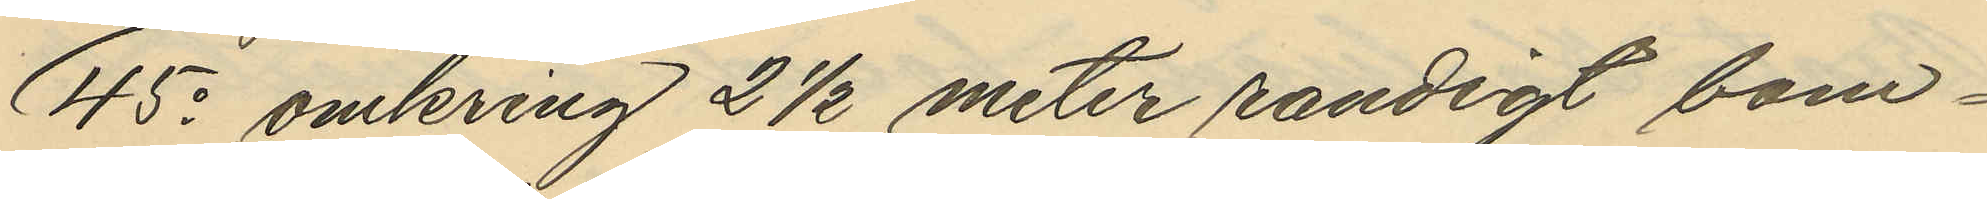45o omkring 2 1/2 meter randigt bom¬
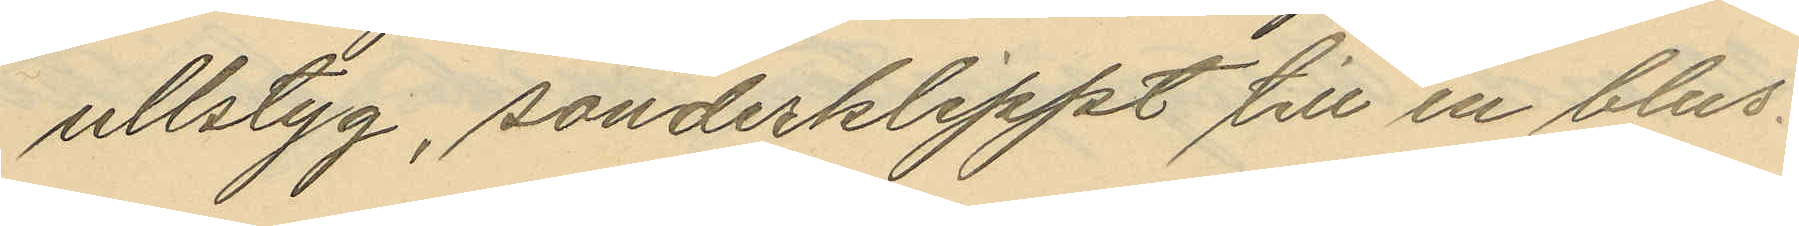ullstyg, sönderklippt till en blus.
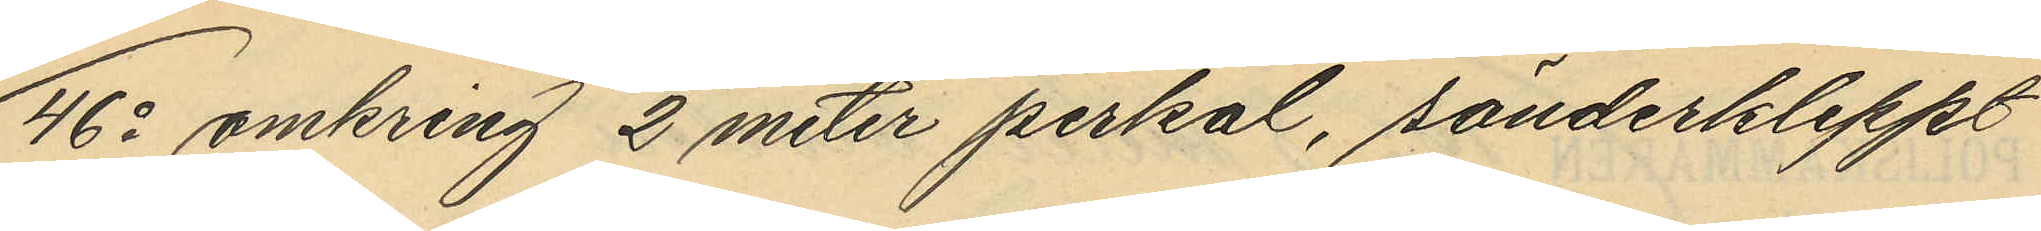46o omkring 2 meter perkal, sönderkleppt
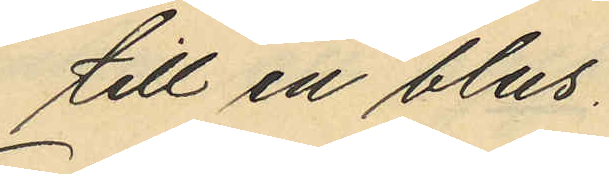till en blus.
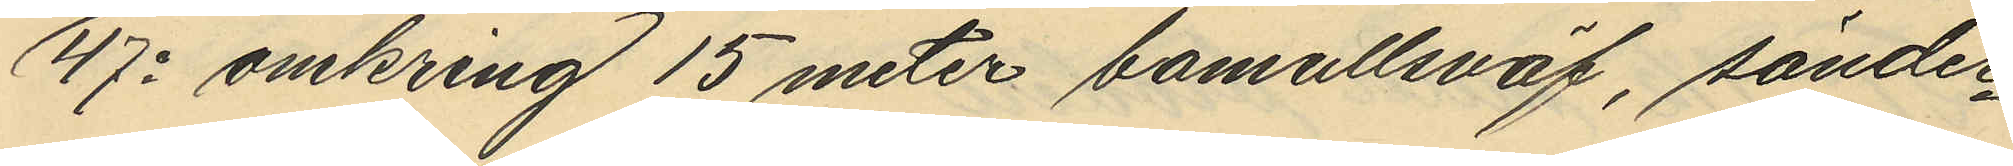47o omkring 15 meter bomullsväf, sönder¬
